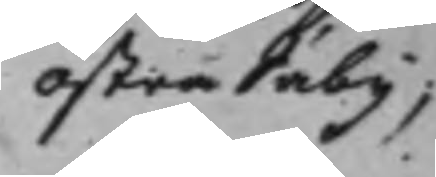Östra Säby,
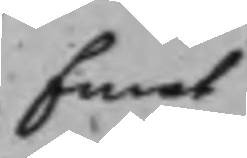Emot
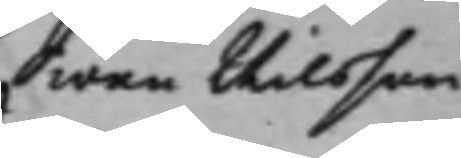Swen Nilsson
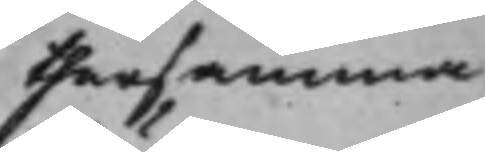thersamma¬
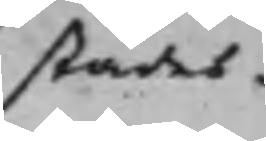städes.
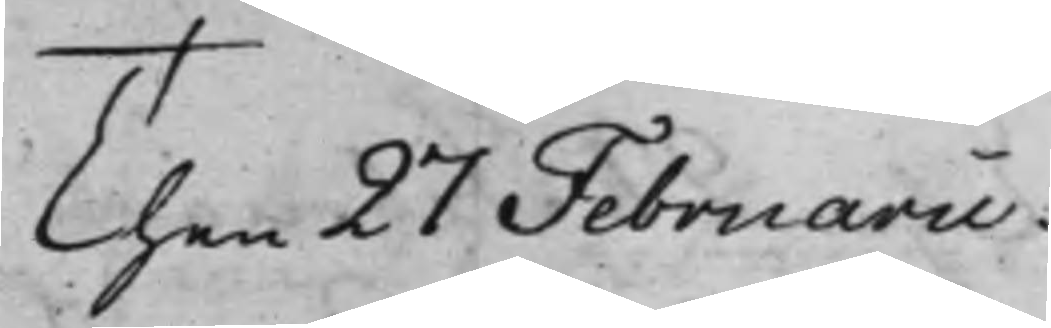Then 27 Februarii.
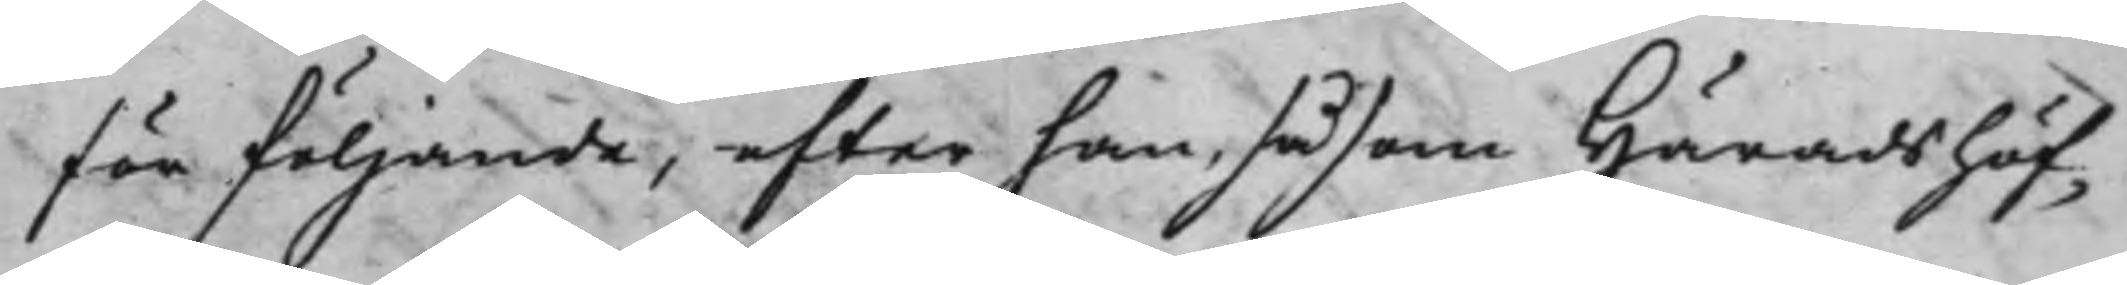för följande, efter han, såsom Häradshöf¬
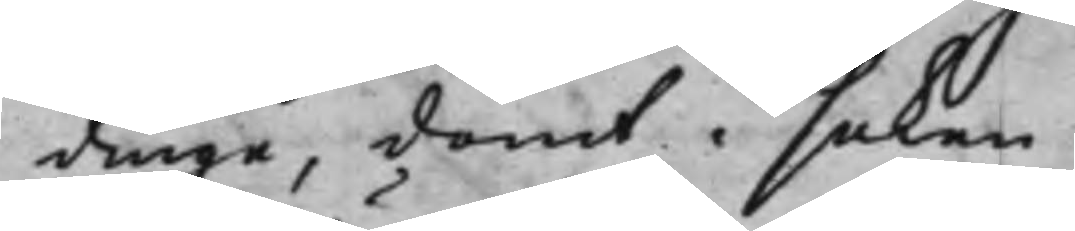dinge, dömt i saken.
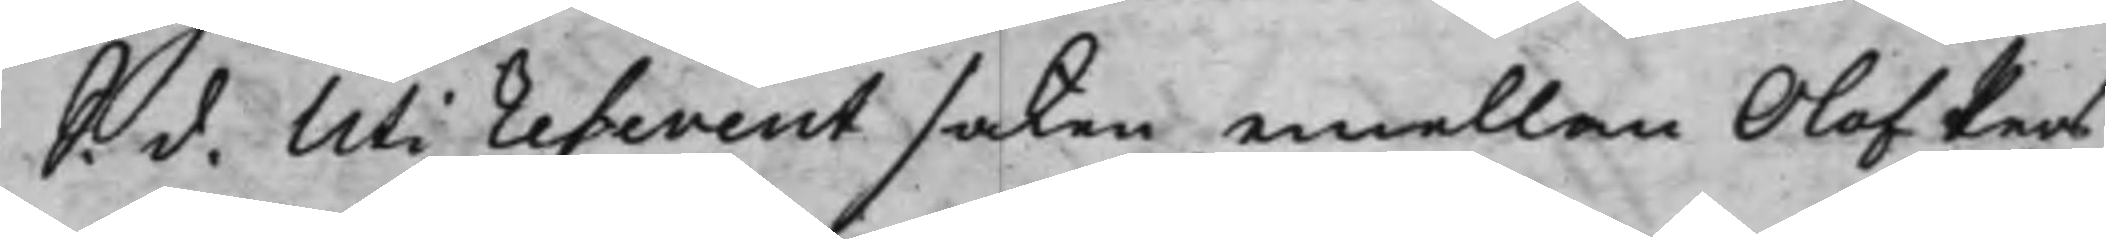S. d. Uti referent saken emellan Olof Pers¬
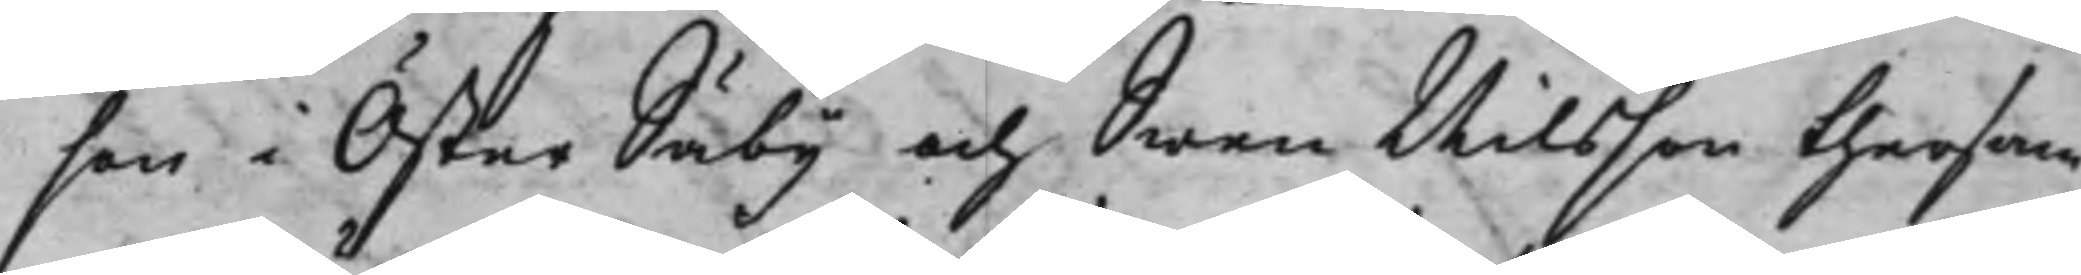son i Öster Säby och Swen Nilsson thersam¬
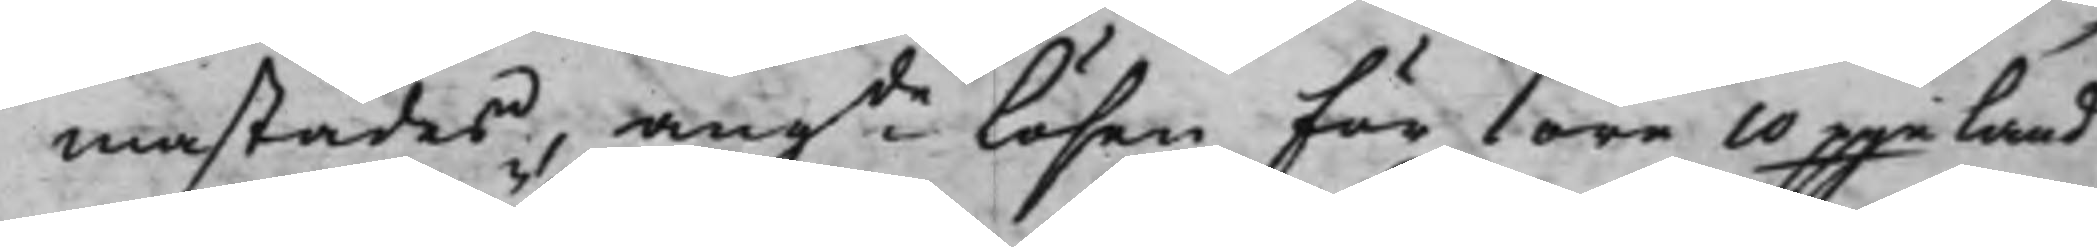mastädes, angde Lösen för 1 öre 10 pgeland
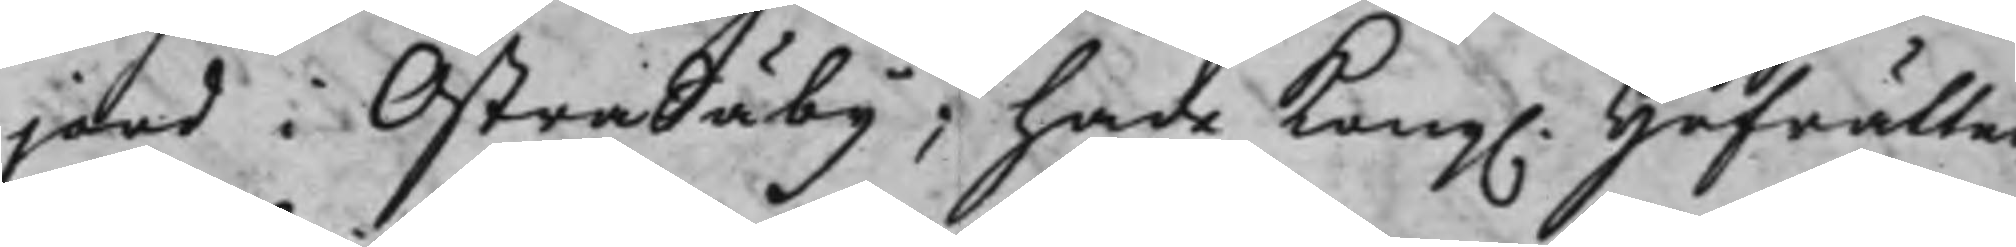jord i Östra Säby; hade Kong. Hofrätten
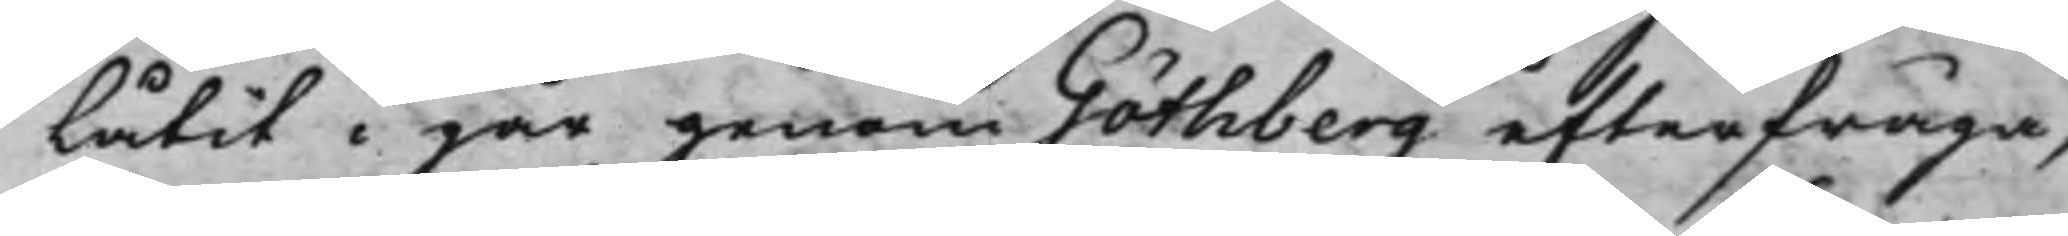Låtit i går genom Göthberg efterfråga,
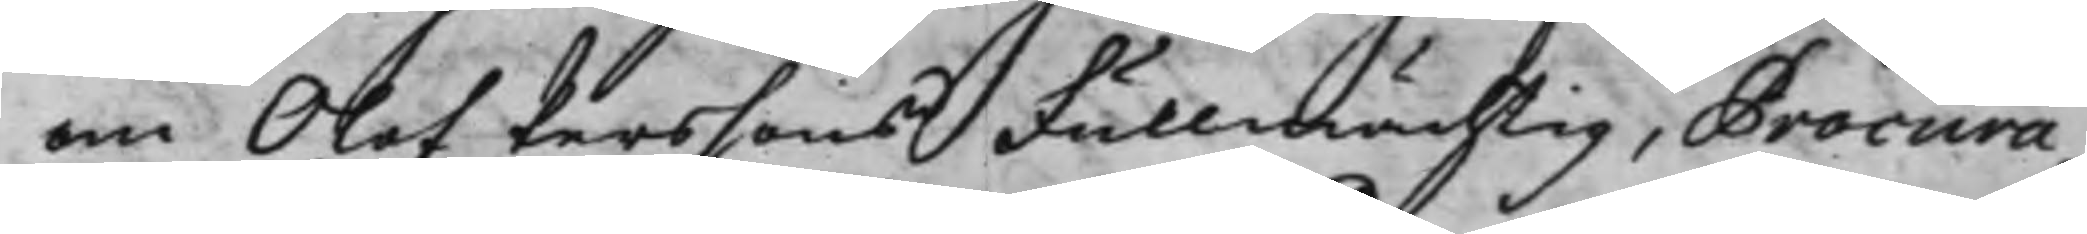om Olof Perssons Fullmächtig, Procura¬
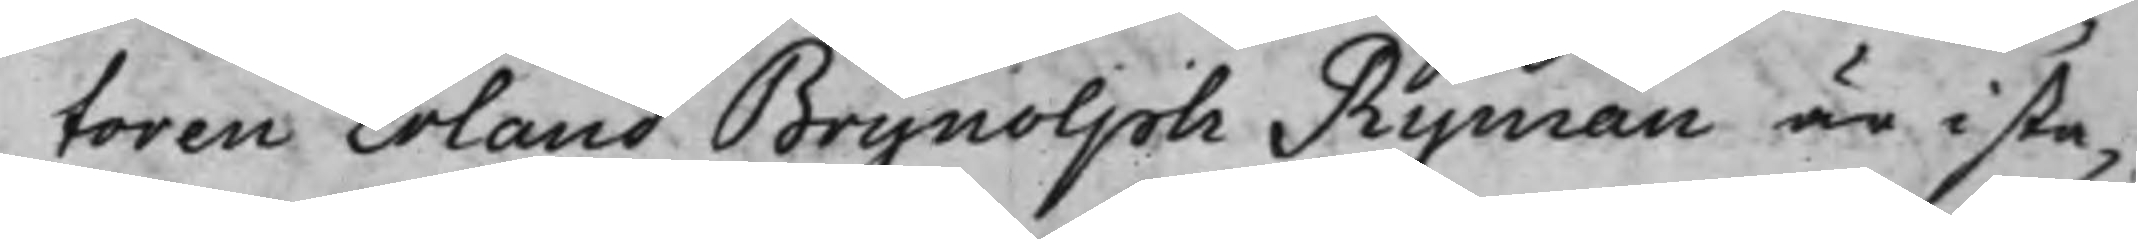toren Erland Brynolph Ryman är i sta¬
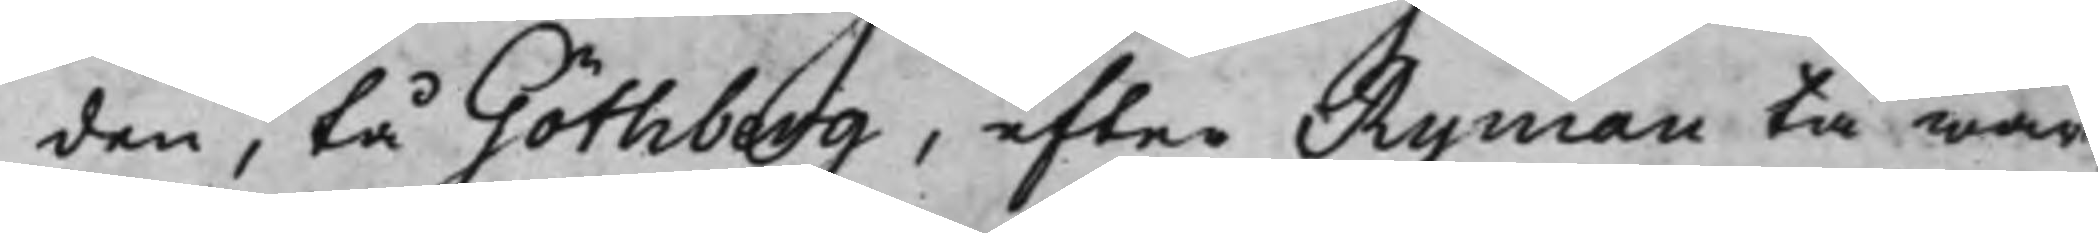den, tå Göthberg, efter Ryman tå war
